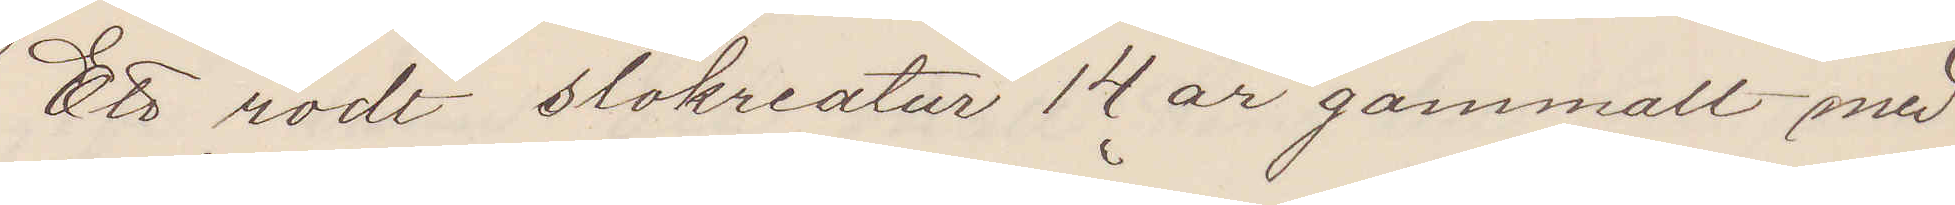Ett rödt stokreatur 14 år gammalt med
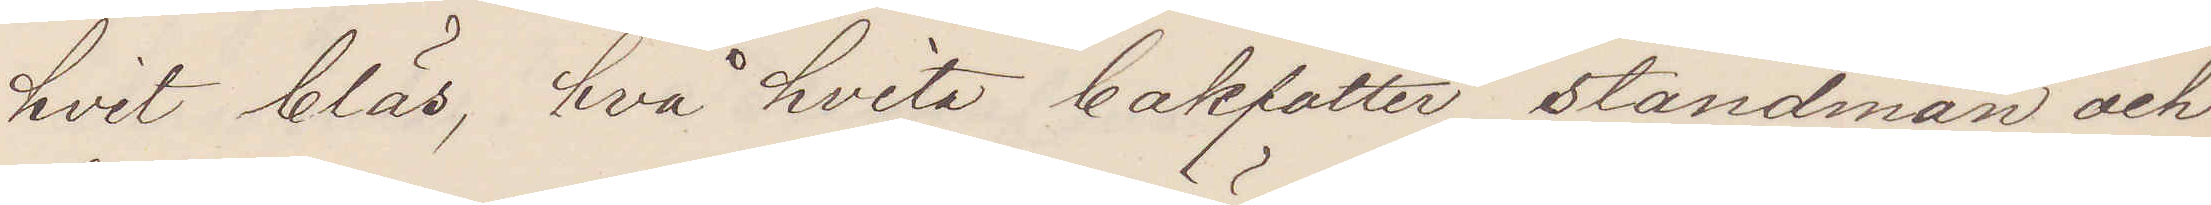hvit bläs, två hvita bakfötter, ståndman och
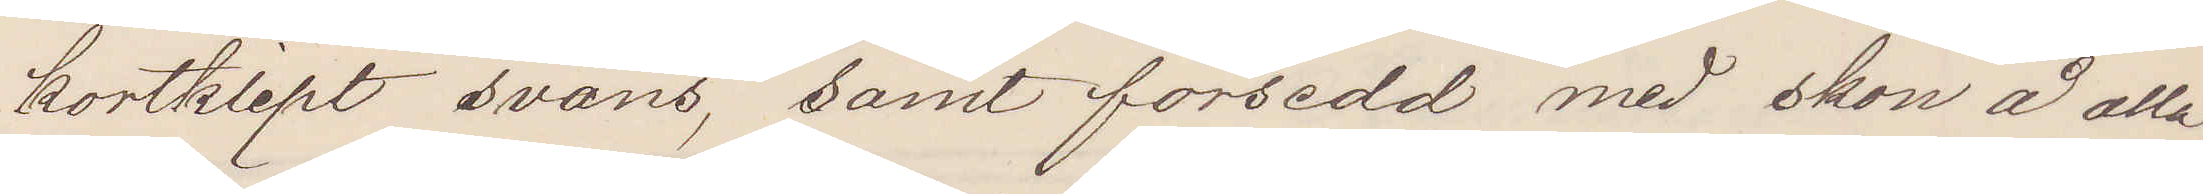kortklipt svans, samt försedd med skon å alla
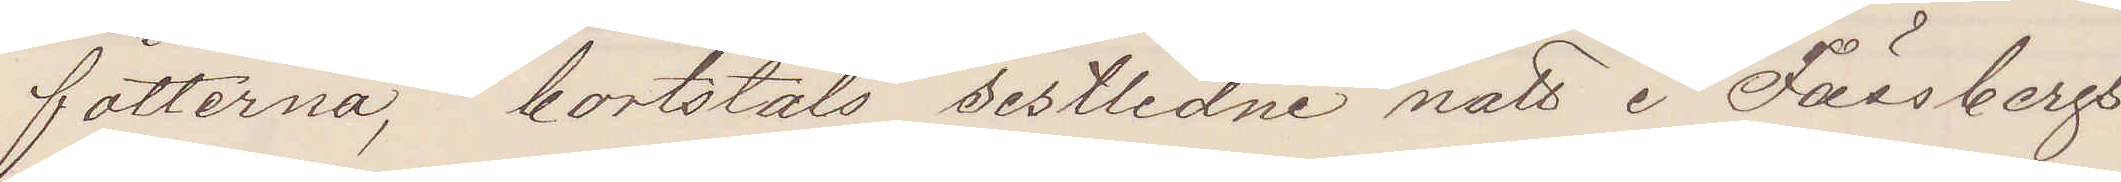fötterna, bortstals sistlidne natt i Fässbergs
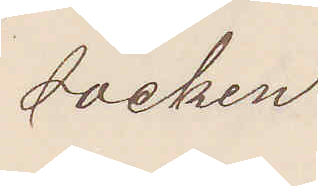socken
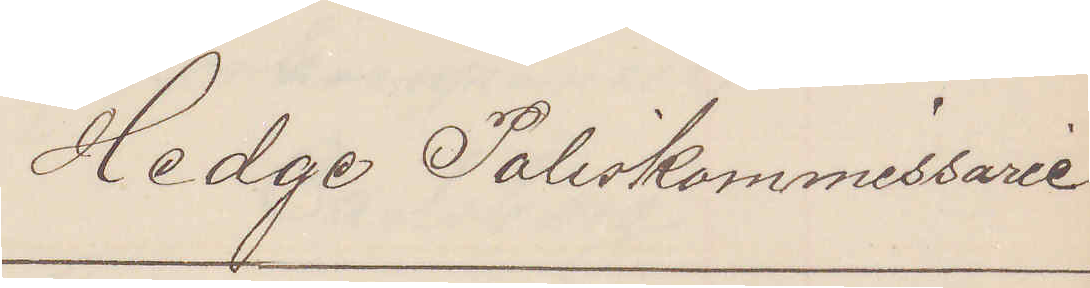Hedge Poliskommissarie
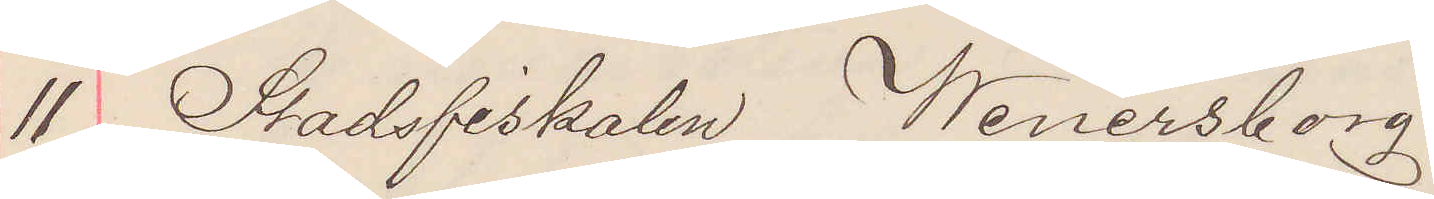11 Stadsfiskalen Wenersborg
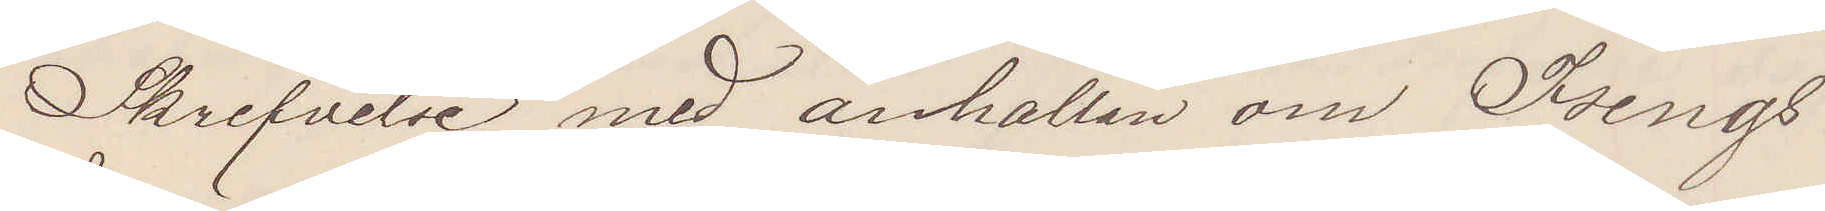Skrifvelse med anhållan om Isings
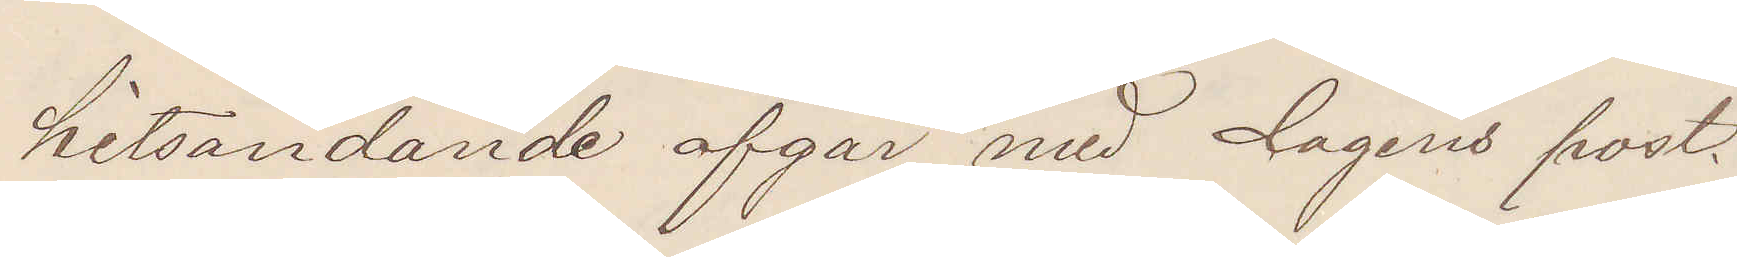hitsändande afgår med dagens post.
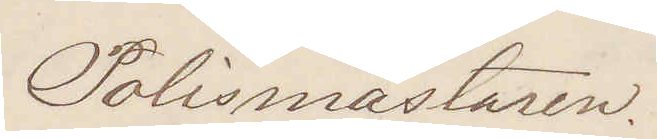Polismästaren.
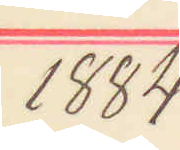1884
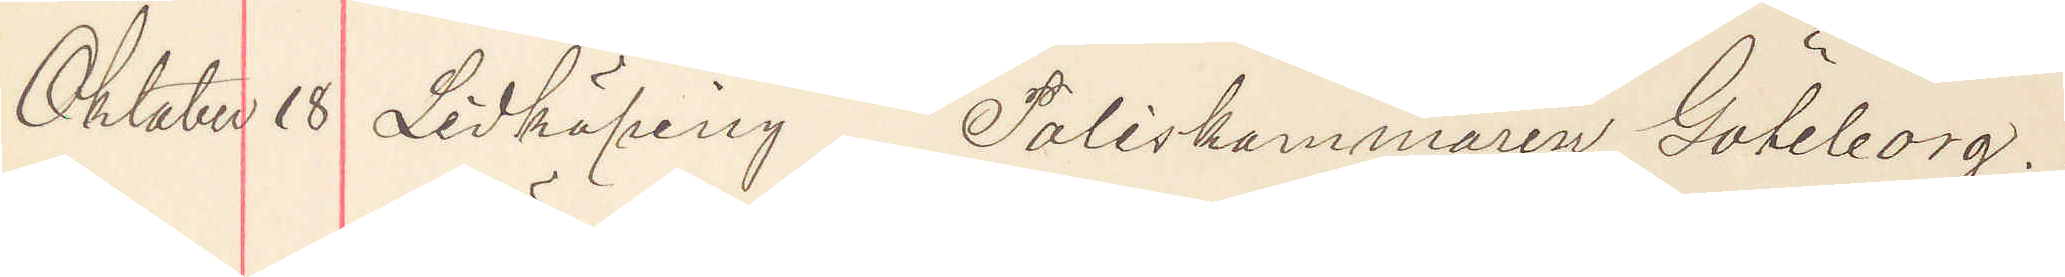Oktober 18 Lidköping Poliskammaren Göteborg.
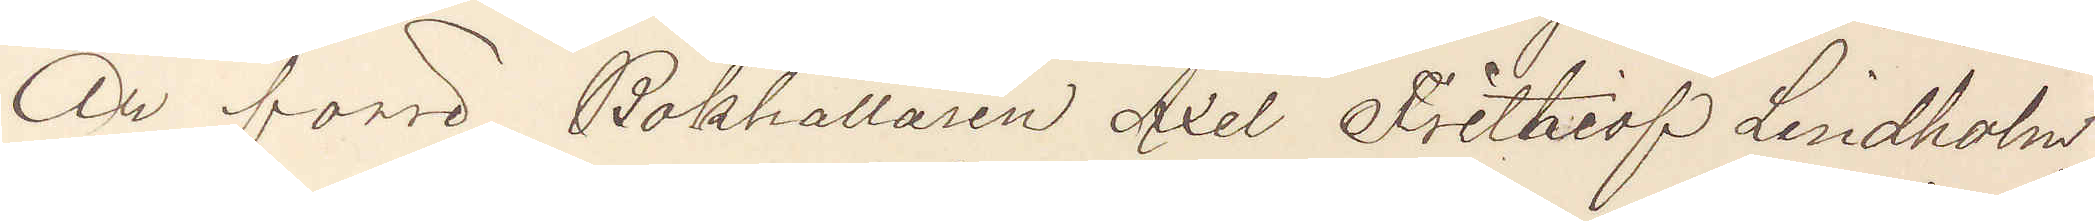Är förre Bokhållaren Axel Frithiof Lindholm,
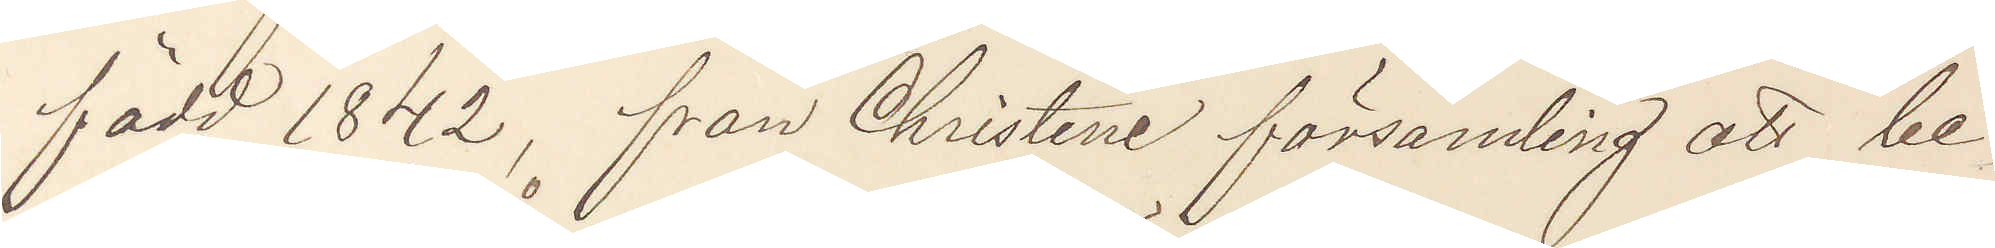född 1842, från Christine församling att be¬
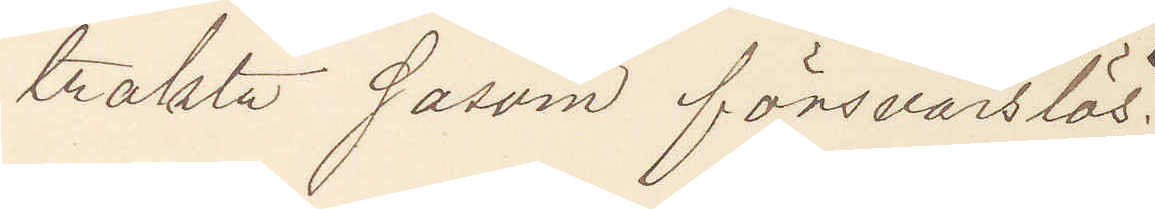trakta såsom försvarslös.
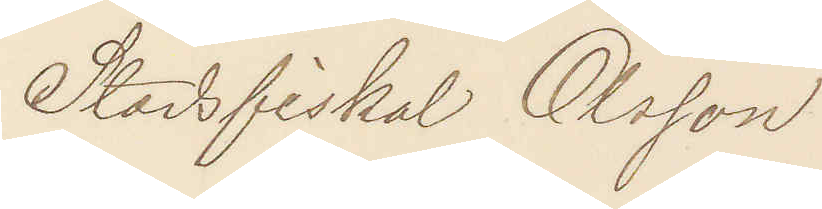Stadsfiskal Olsson
